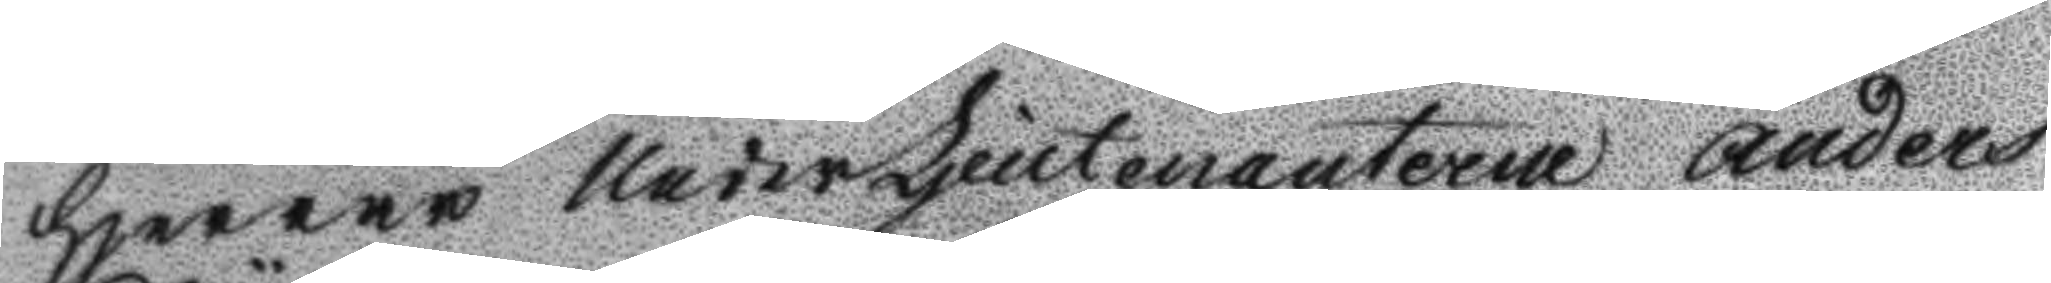Herrar UnderLjeutenanterne Anders
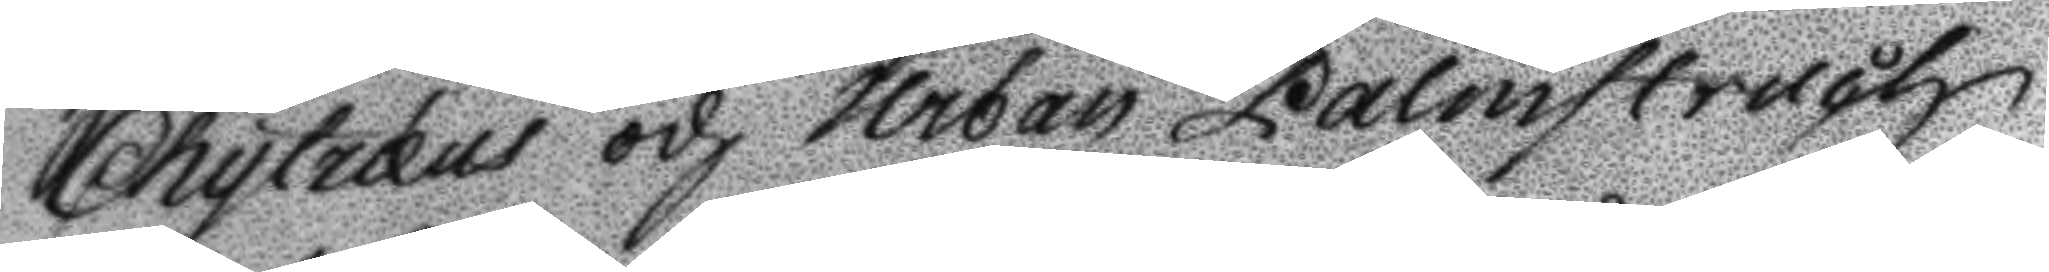Chytræus och Urban Palmstruch
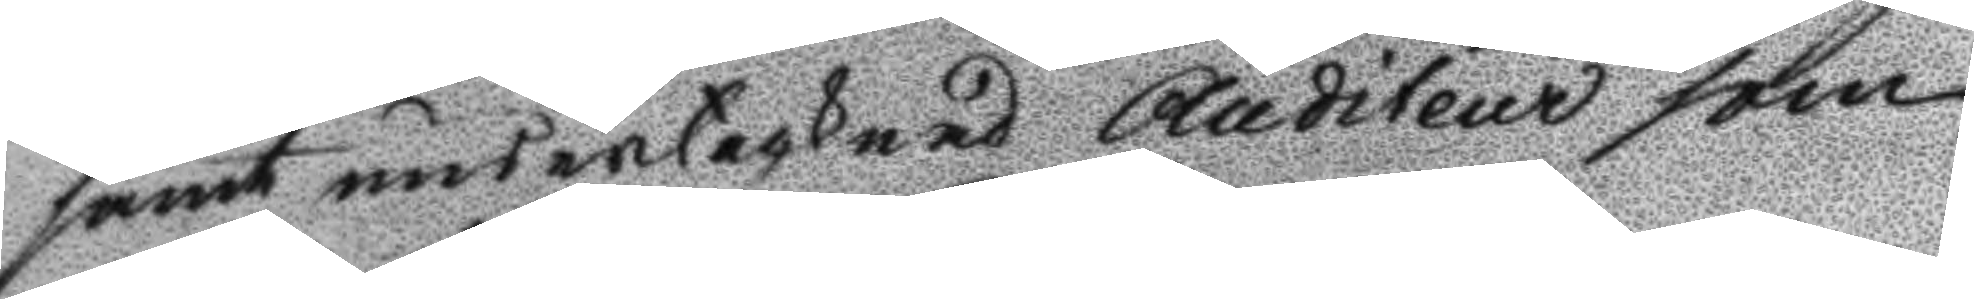samt undertecknad Auditeur som
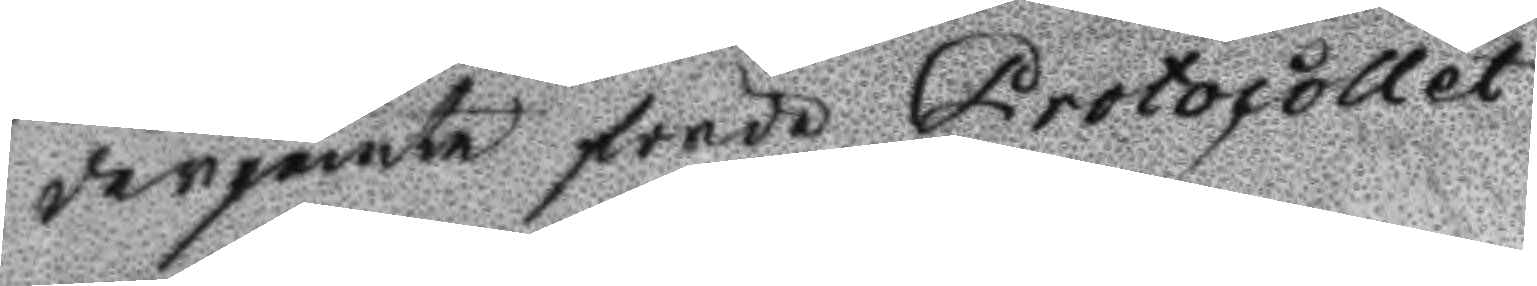derjemte förde Protocollet.
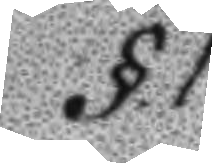§.1.
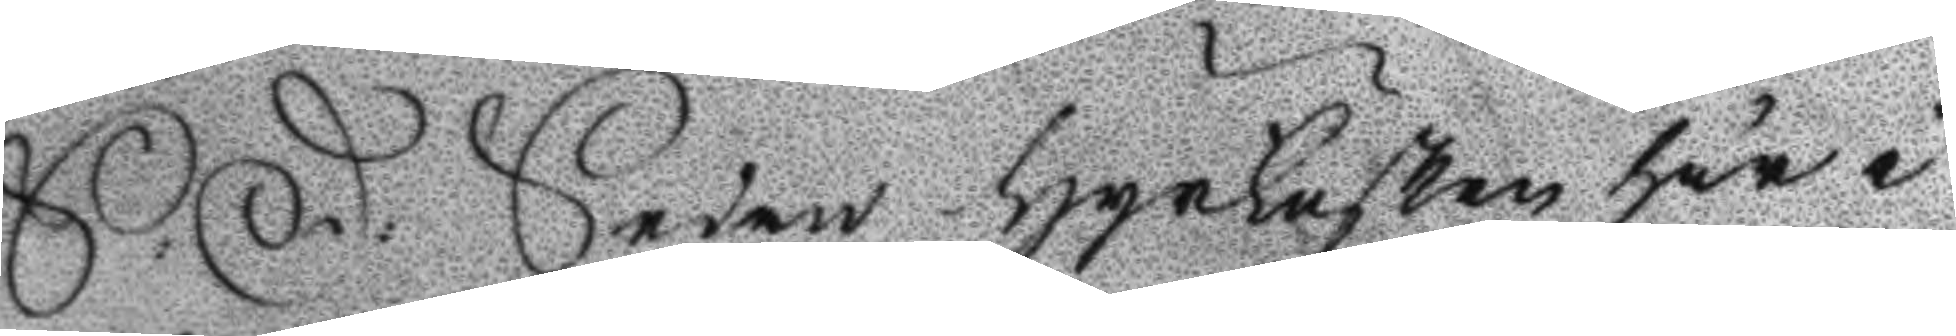S: D: Sedan Hyrkusken här i
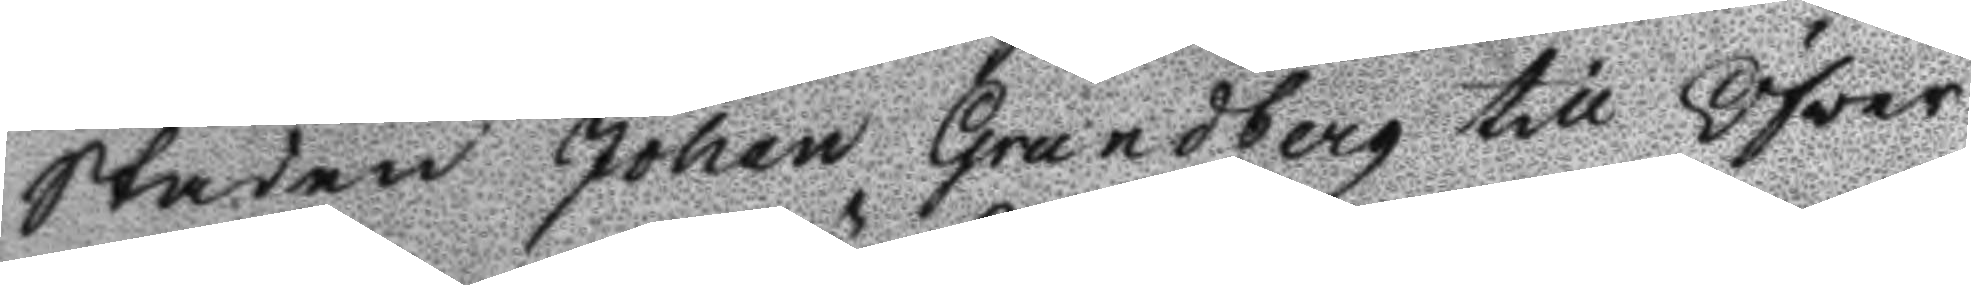Staden Johan Grandberg till Öfver
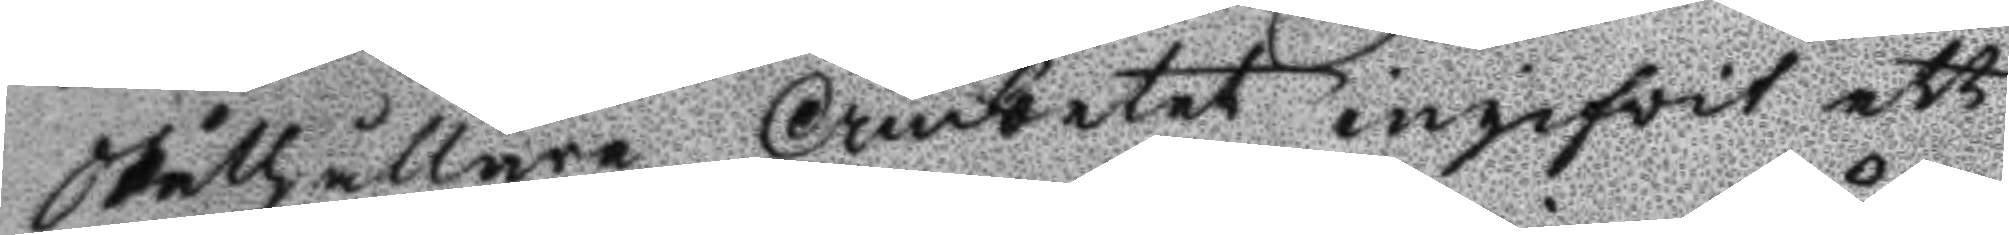Ståthållare Ämbetet ingifvit ett
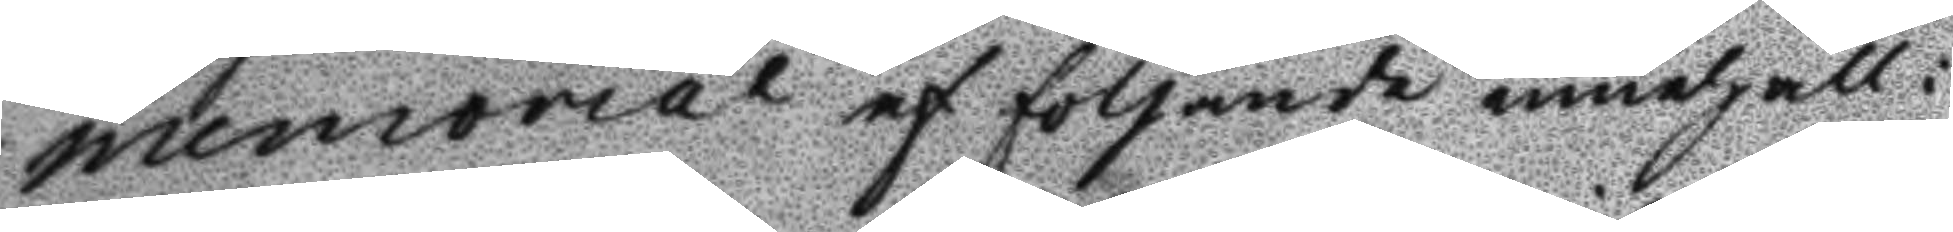memorial af följande innehåll:
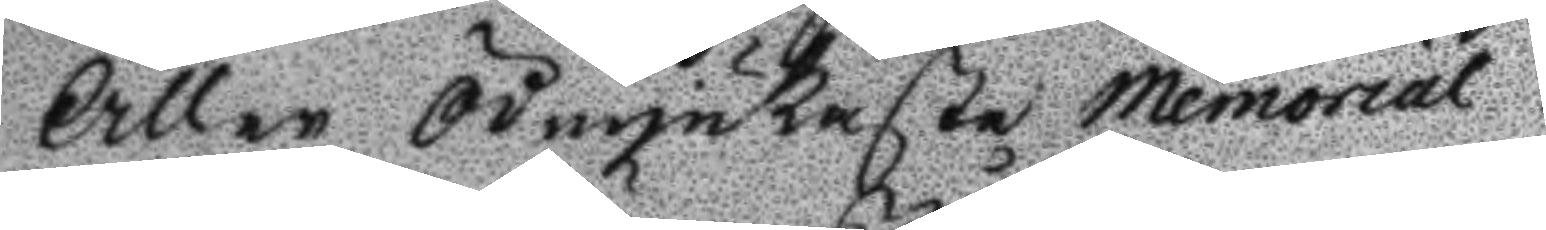Aller Ödmjukaste memorial!
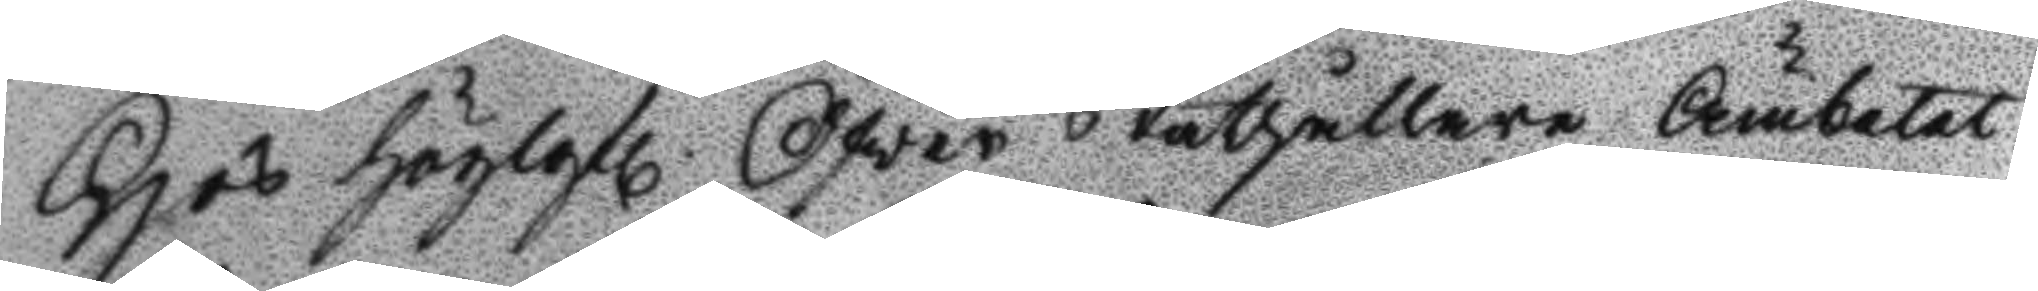Hos höglofl. Öfver Ståthållare Ämbetet
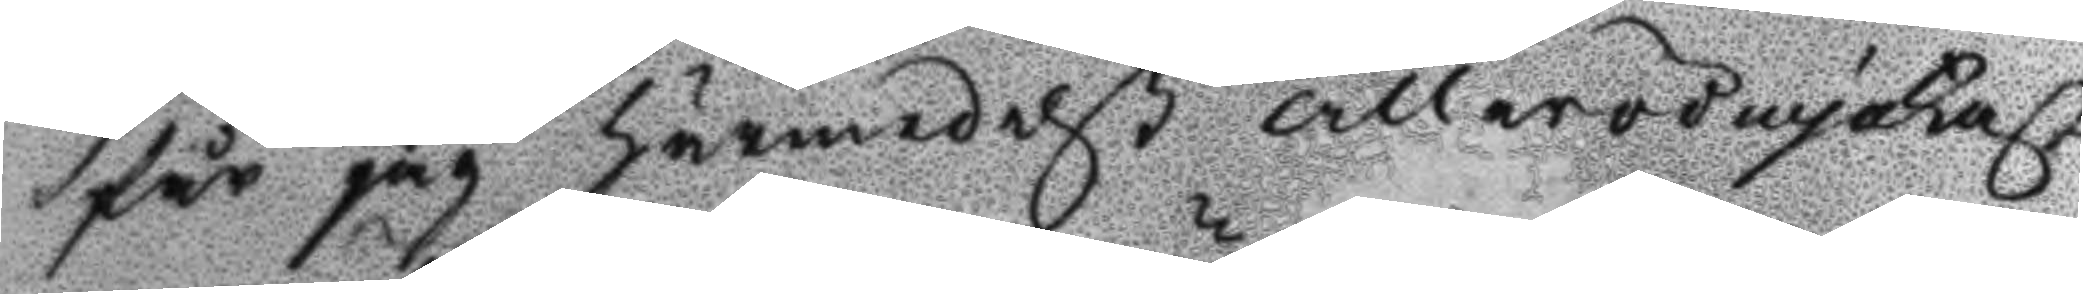får jag härmedelst allerödmjukast
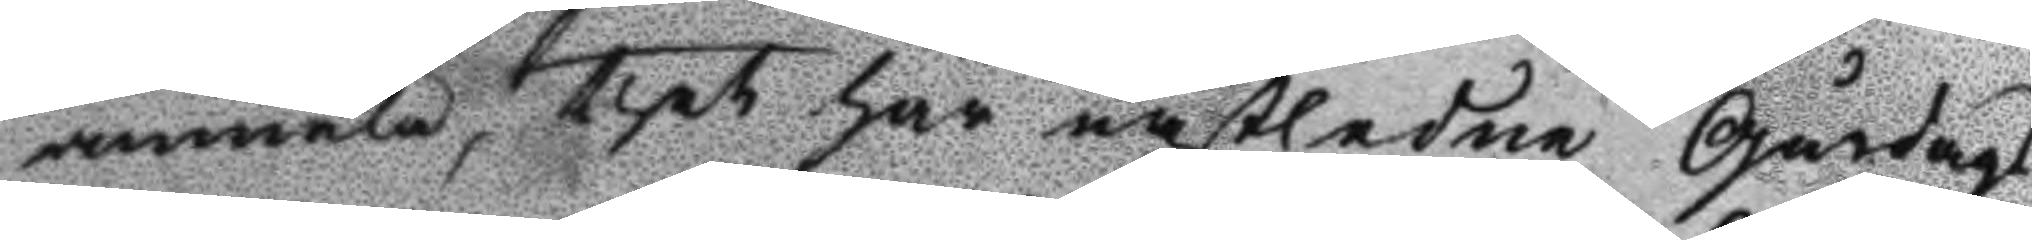anmäla, thet har nästledne Gårdags
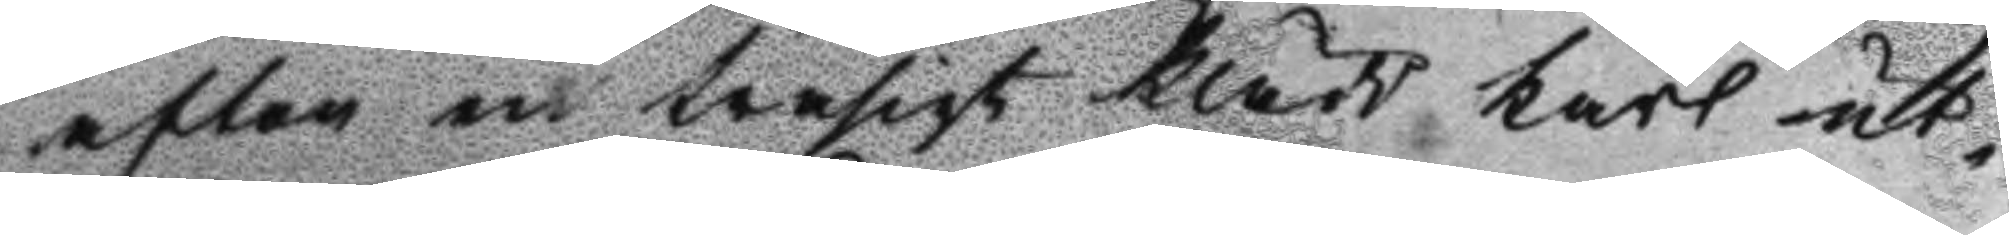afton en trasigt klädd karl ut¬
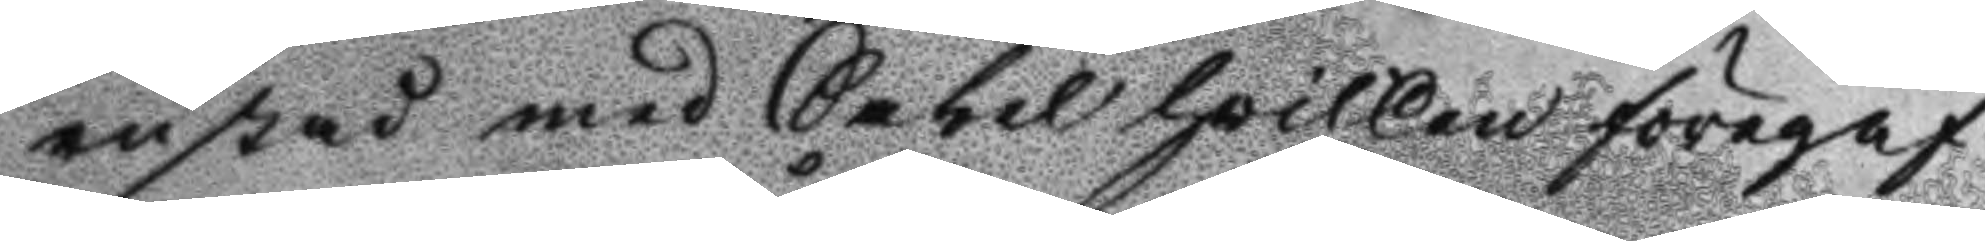rustad med Sabel hvilken föregaf
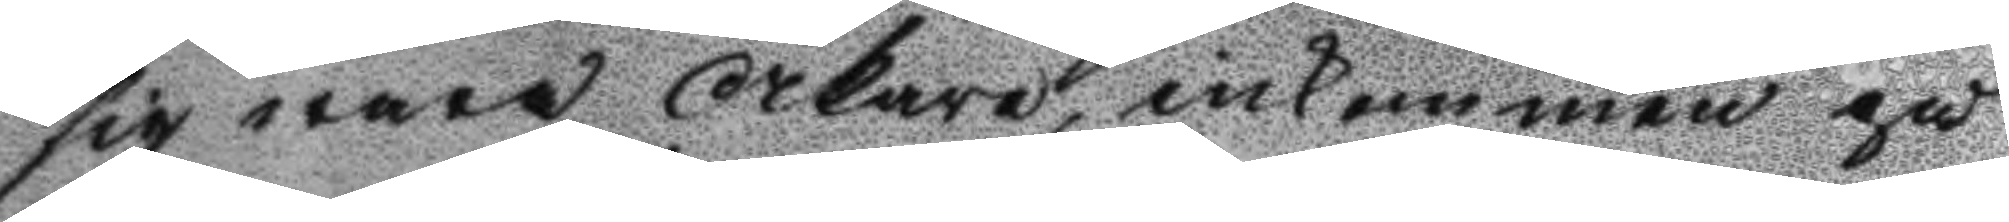sig wara Åkare, inkommen på
